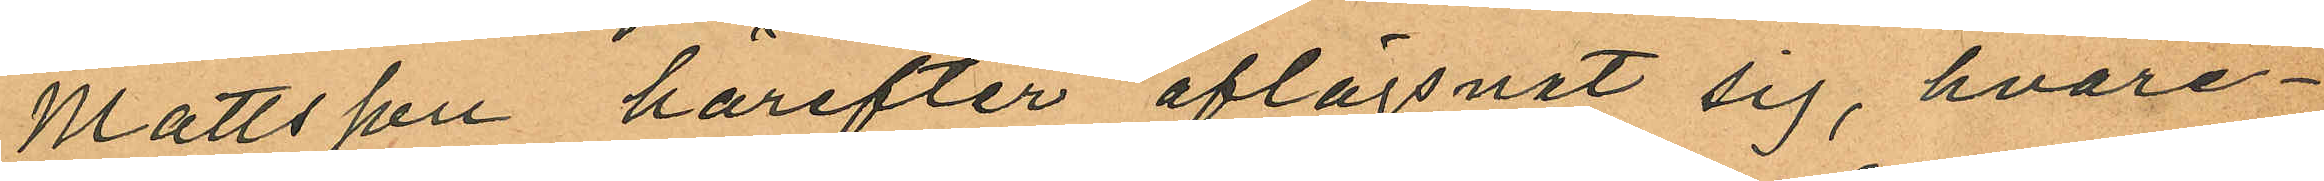Mattsson härefter aflägsnat sig, hvare¬
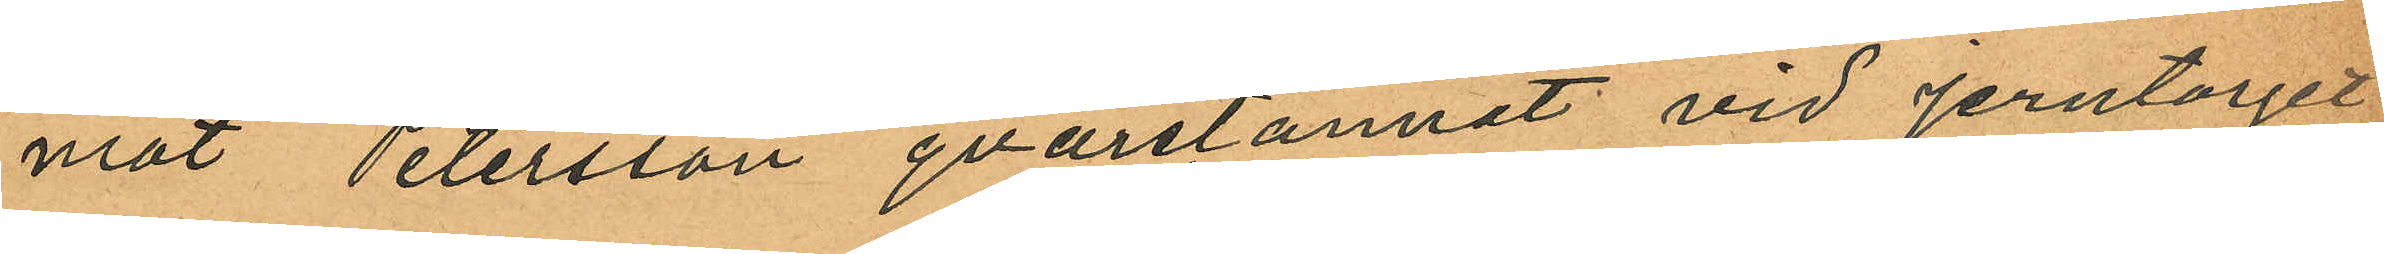mot Petersson qvarstannat vid Jerntorget;
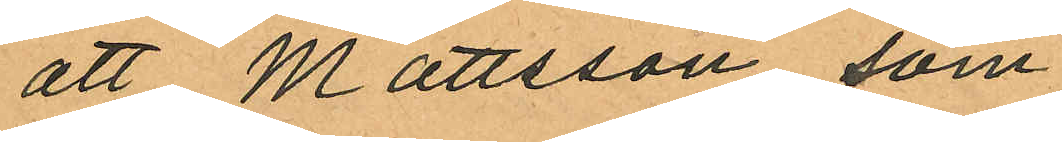att Mattsson, som
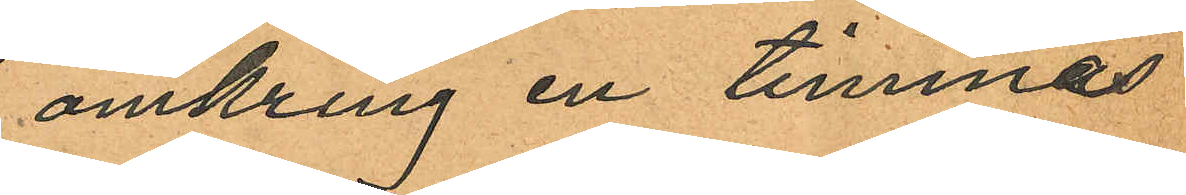omkring en timmas
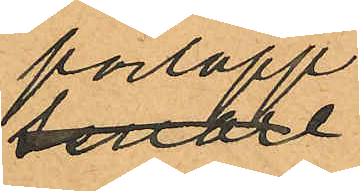förlopp
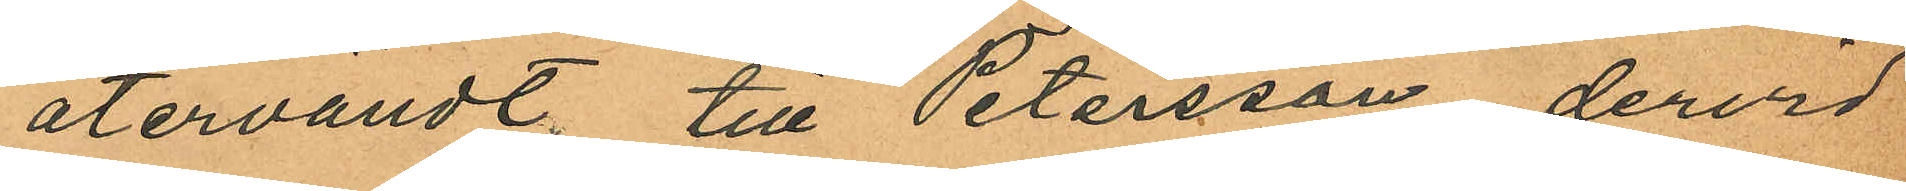återvändt; till Petersson, dervid
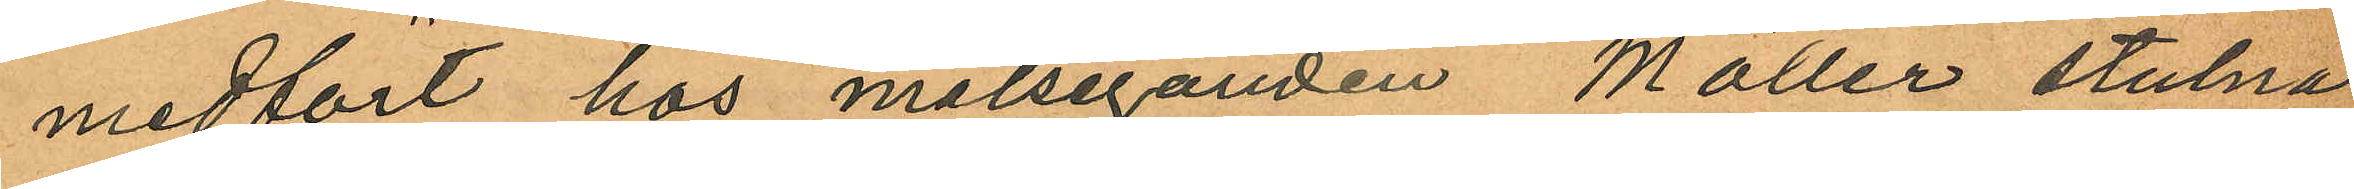medfört hos målseganden Möller stulna
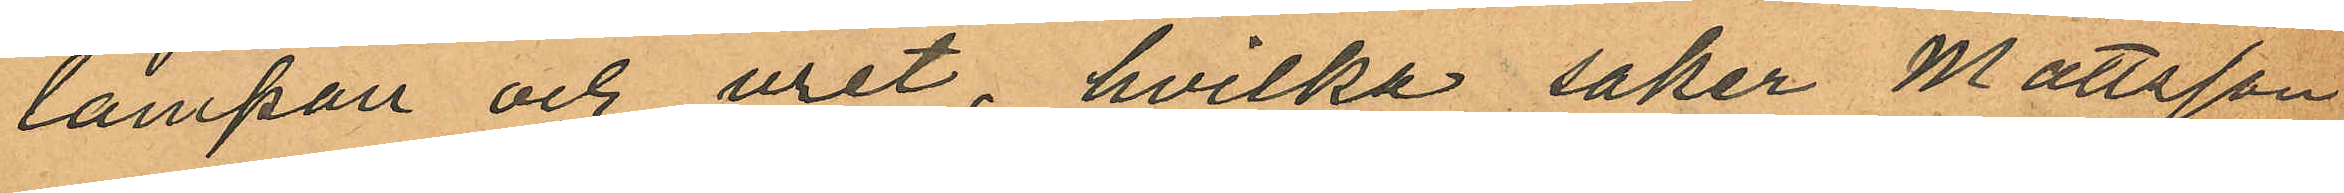lampan och uret, hvilka saker Mattsson
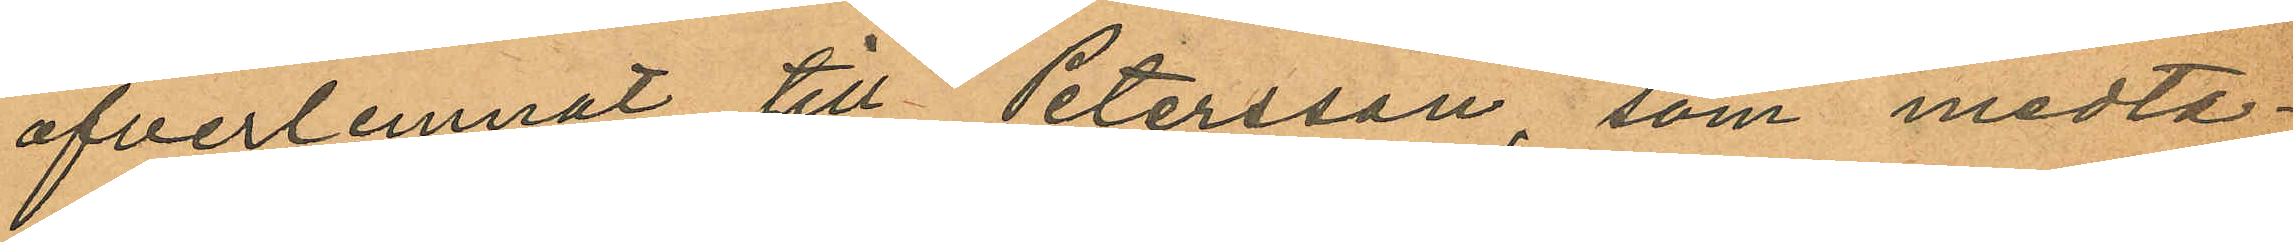öfverlemnat till Petersson, som medta¬
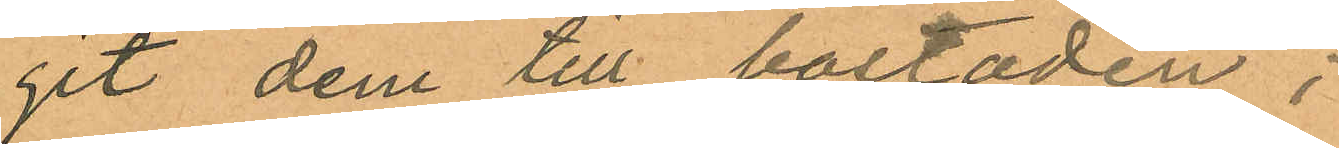git dem till bostaden;
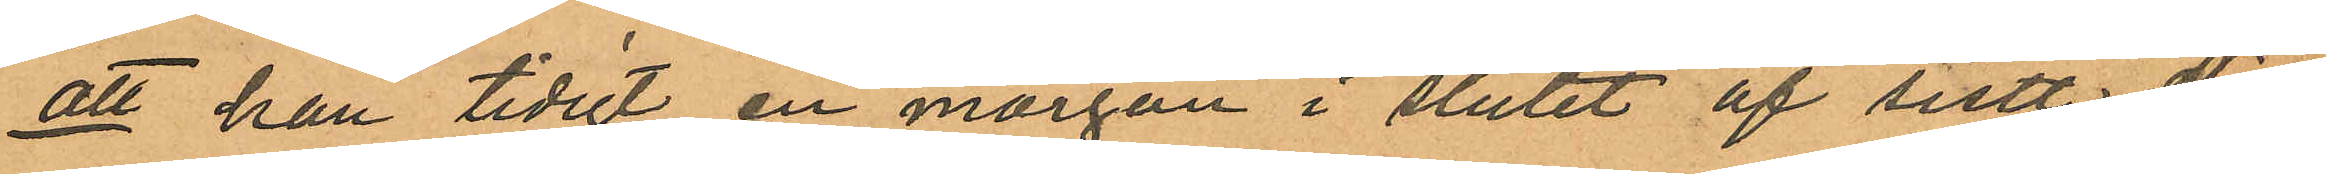att han tidigt en morgon i slutet af sistl. No¬
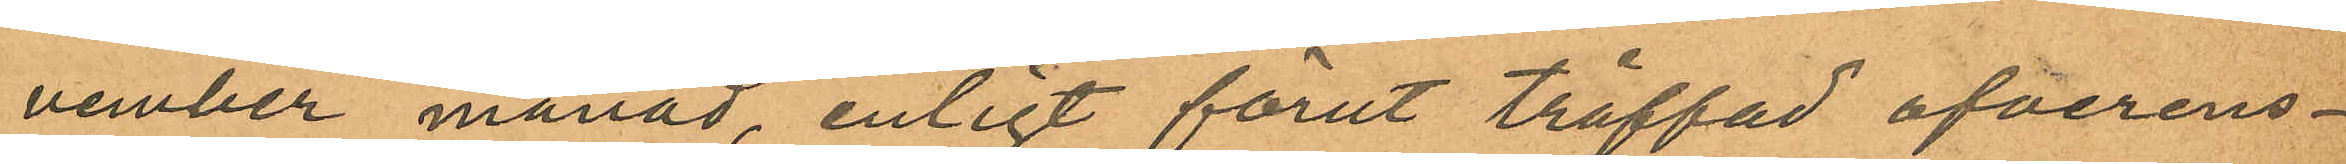vember månad, enligt förut träffad ofverens¬
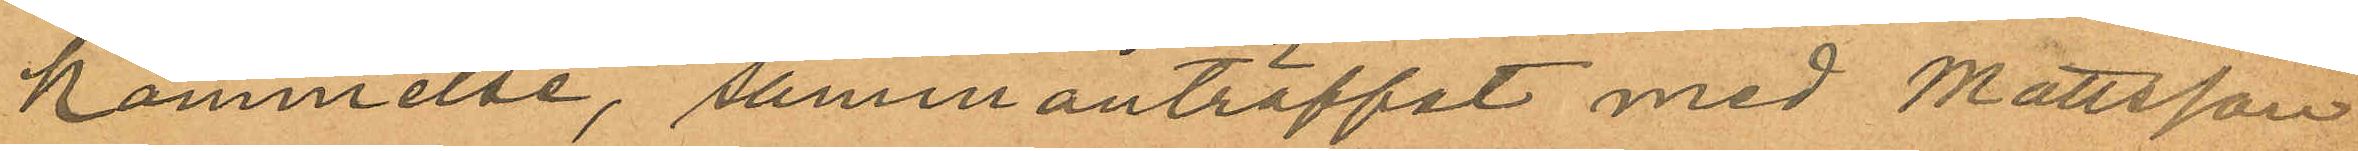kommelse, sammanträffat med Mattsson
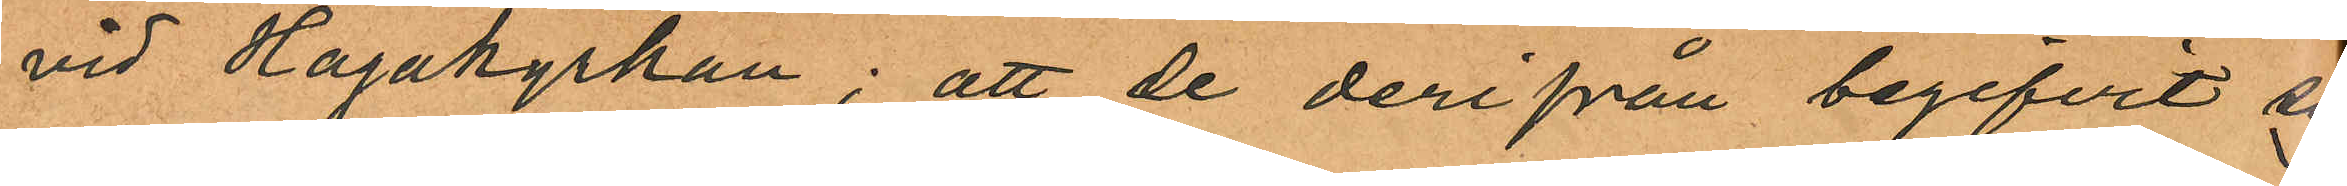vid Hagakyrkan; att de derifrån begifvit sig
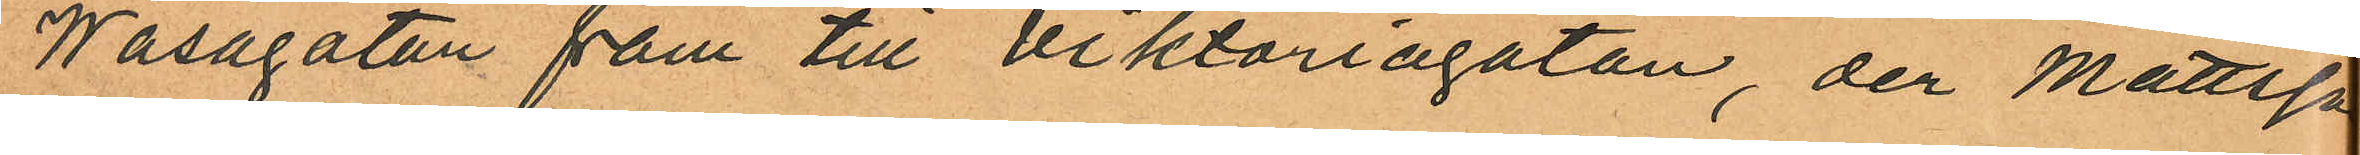Wasagatan fam till Viktoriagatan, der Mattsson
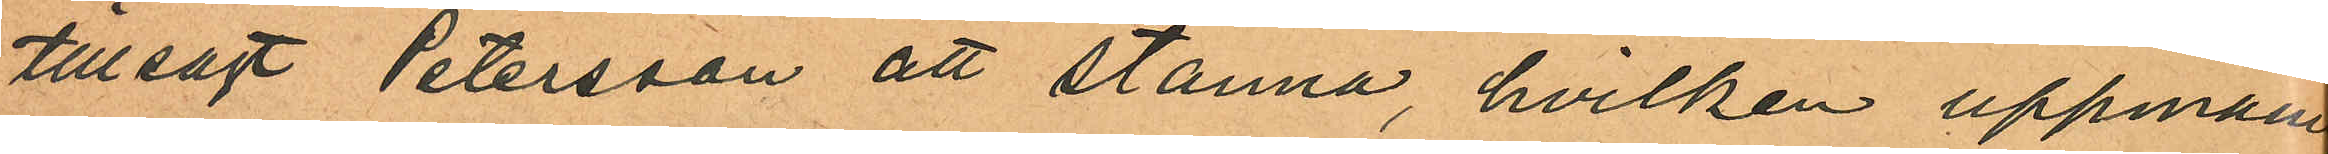tillsagt Petersson att stanna, hvilken uppmaning
